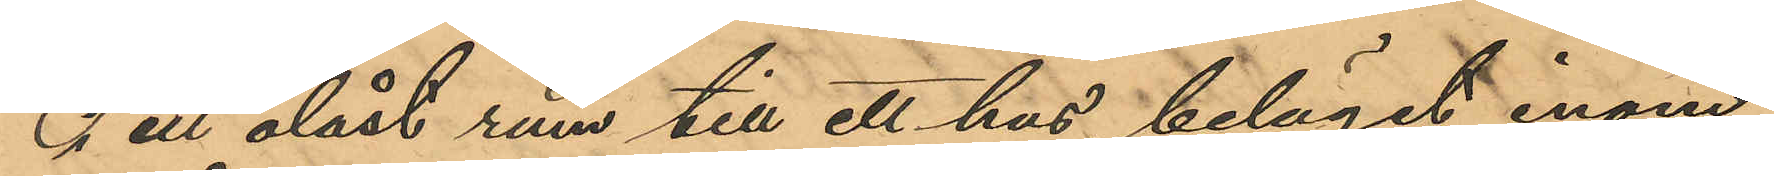i ett olåst rum till ett hus, beläget inom
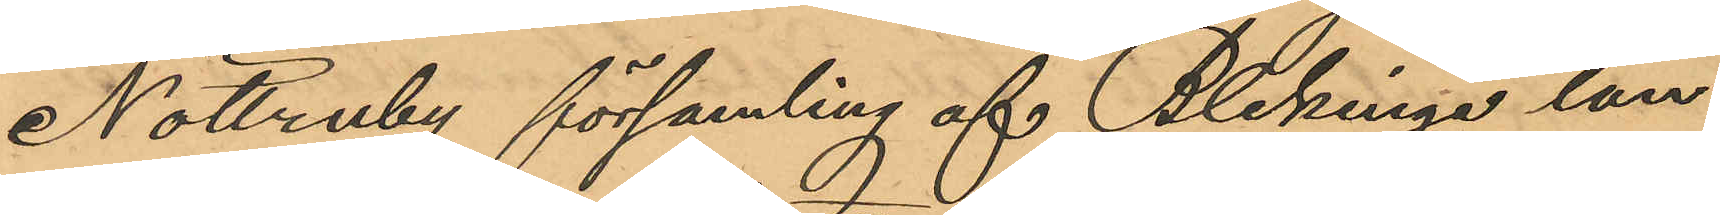Nöttruby församling af Blekinge län
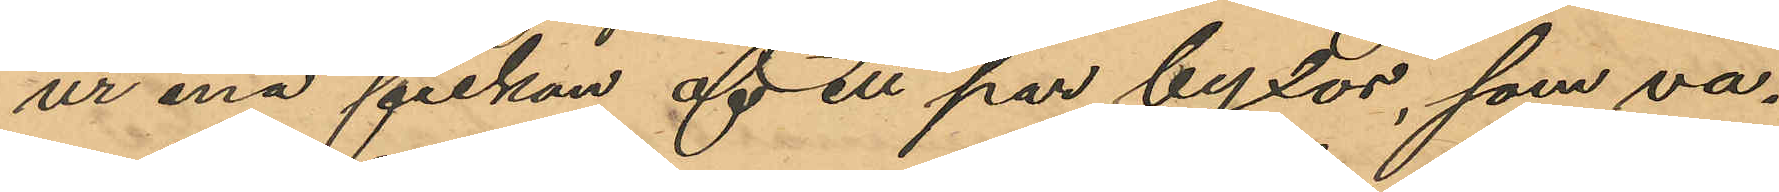ur ena fickan af ett par byxor, som va¬
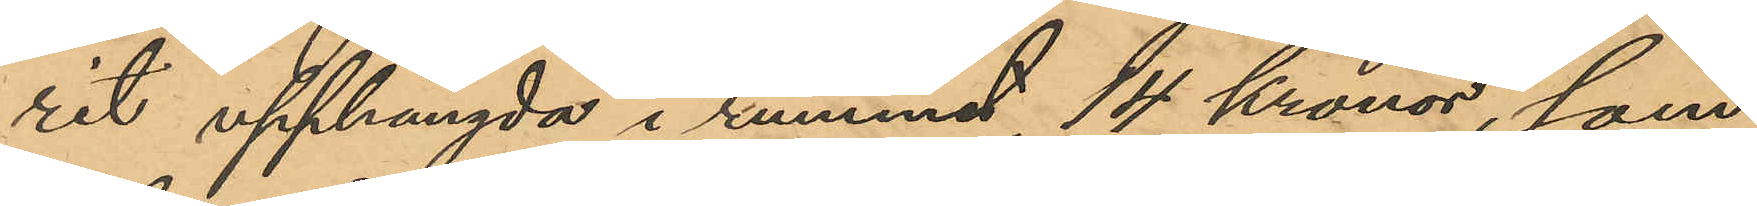rit upphängda i rummet, 14 Kronor, som
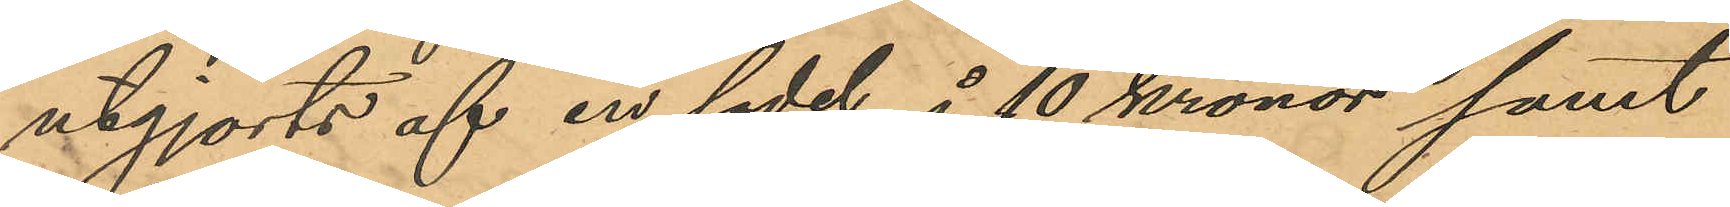utgjorts af en sedel å 10 kronor samt
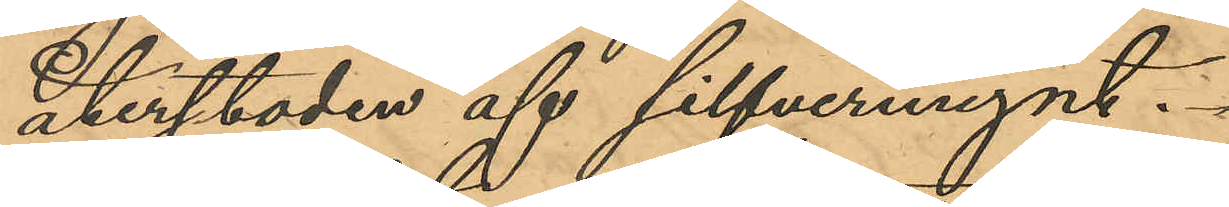återstoden af silfvermynt,
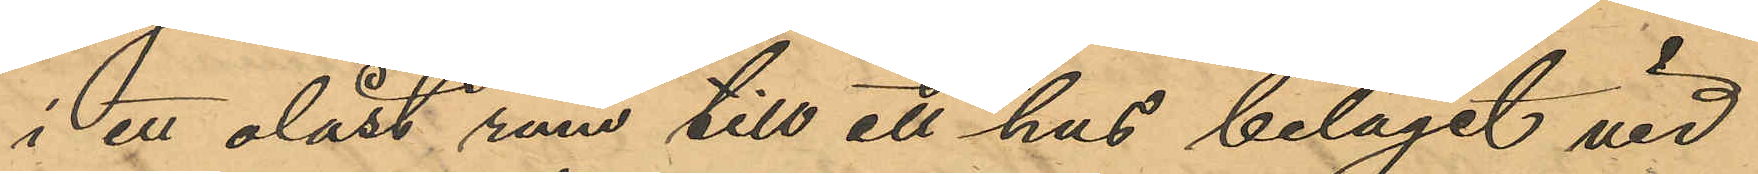i ett olåst rum till ett hus beläget vid
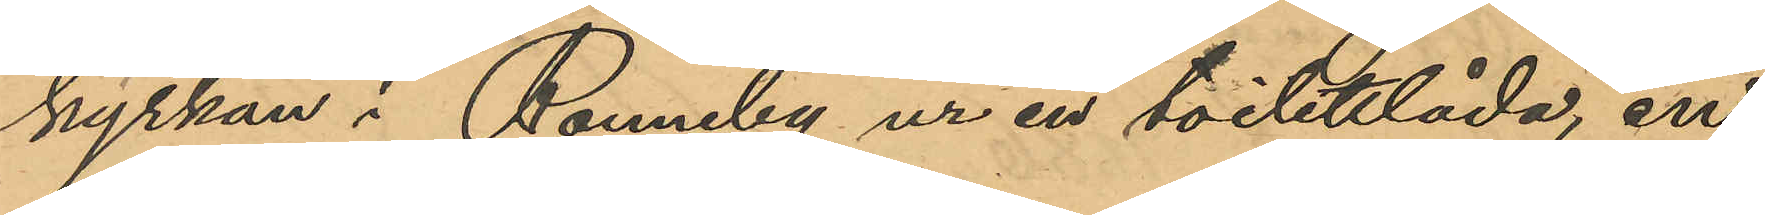kyrkan i Ronneby ur en toilettlåda, en
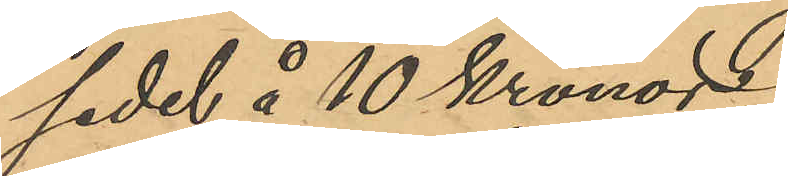sedel å 10 Kronor,
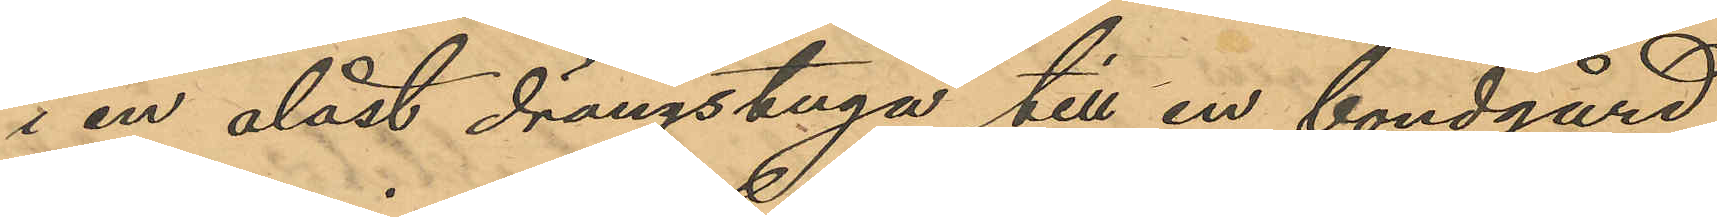i en olåst drängstuga till en bondgård,
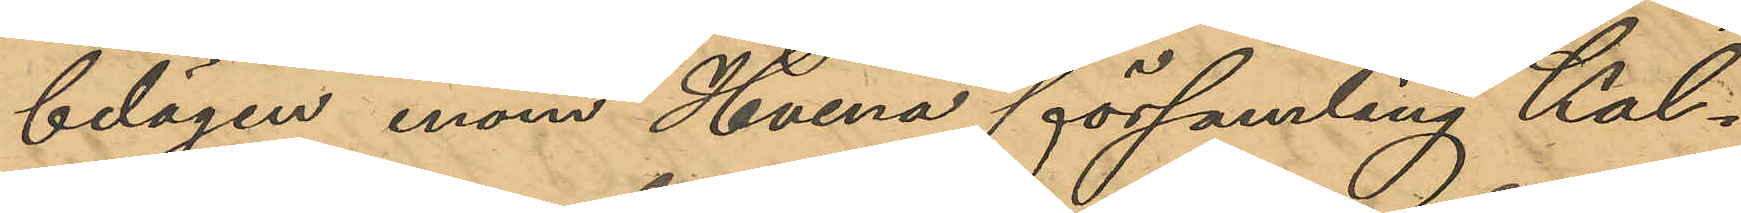belägen inom Hvena församling Kal¬
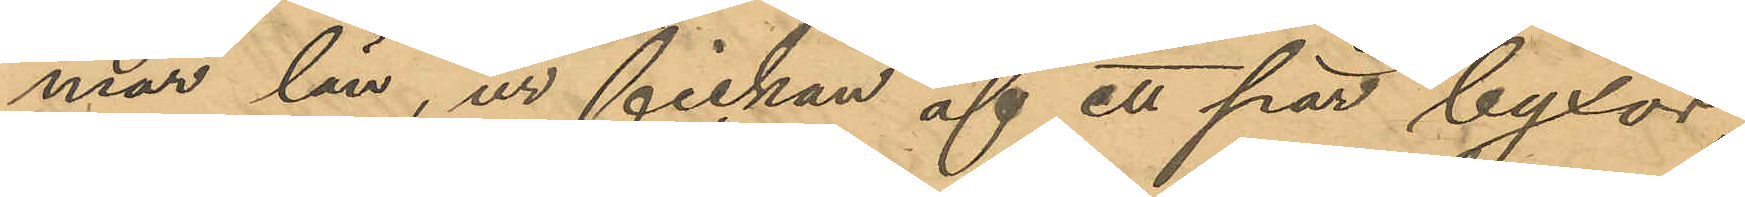mar län, ur fickan af ett par byxor,
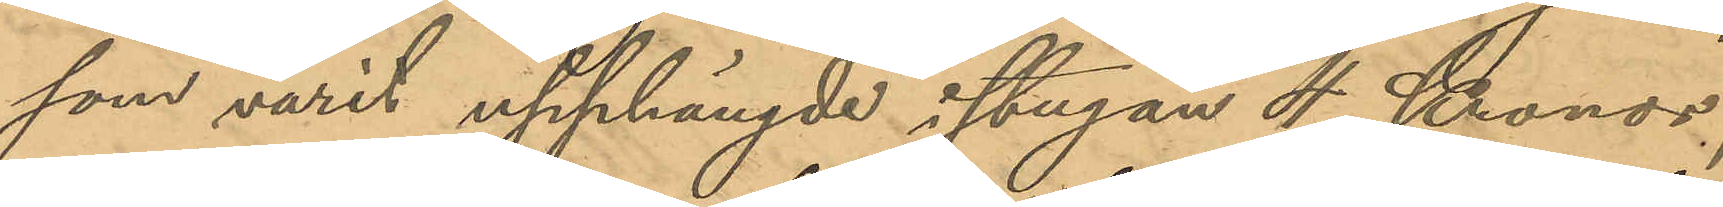som varit upphängde i stugan 4 Kronor,
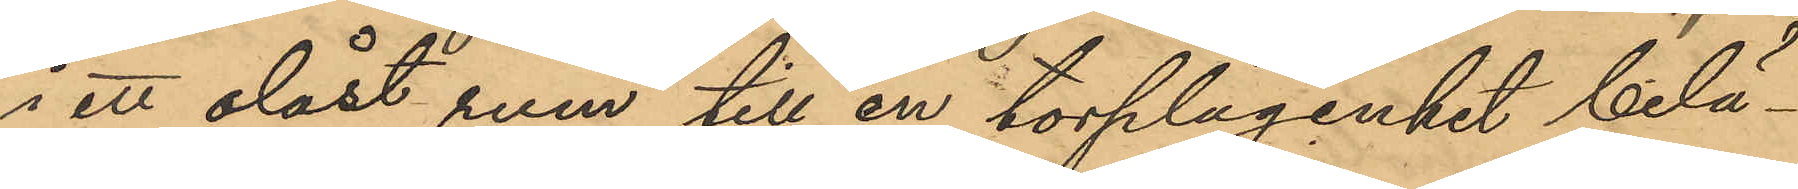i ett olåst rum till en torplägenhet belä¬
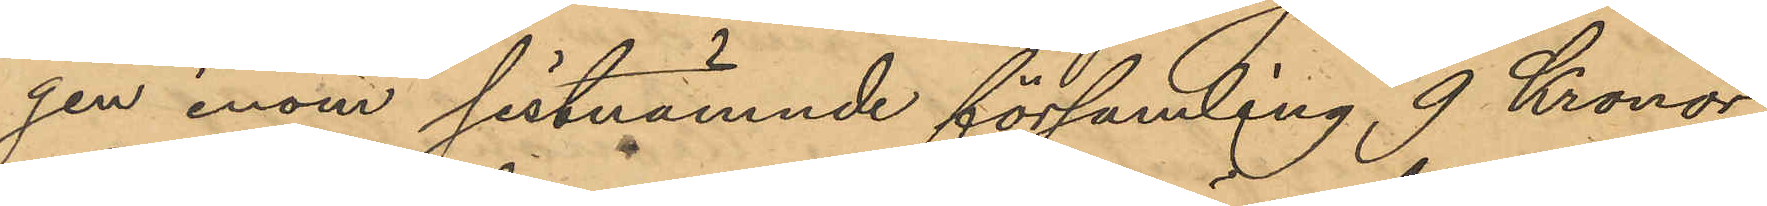gen inom sistnämnde församling 9 Kronor,
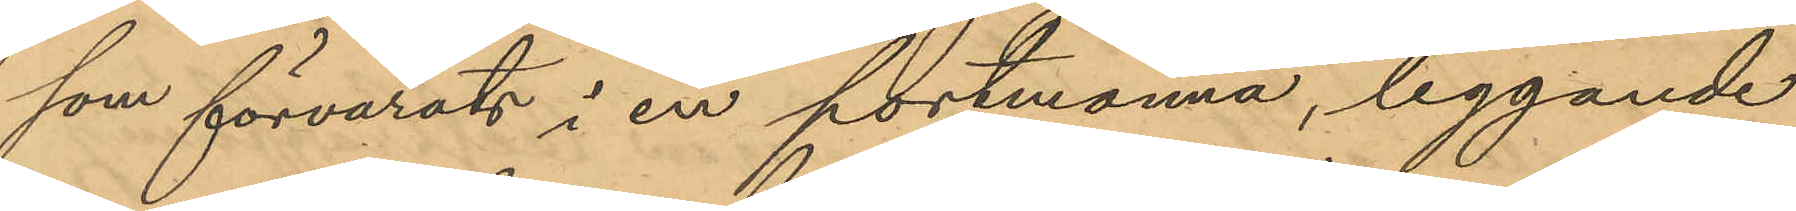som förvarats i en portmonnä, liggande
